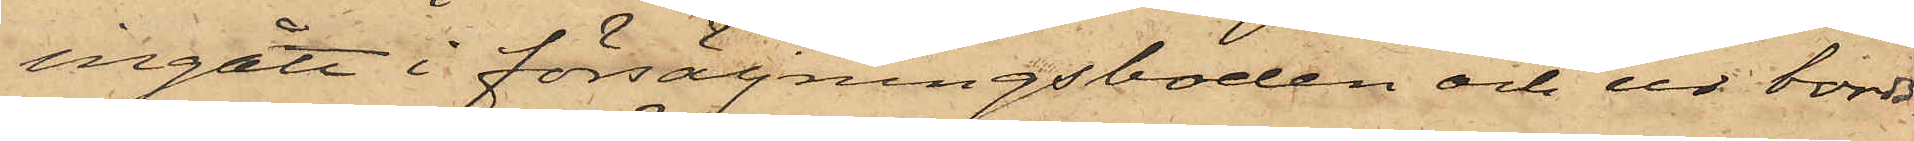ingått i försäljningsboden och ur bords¬
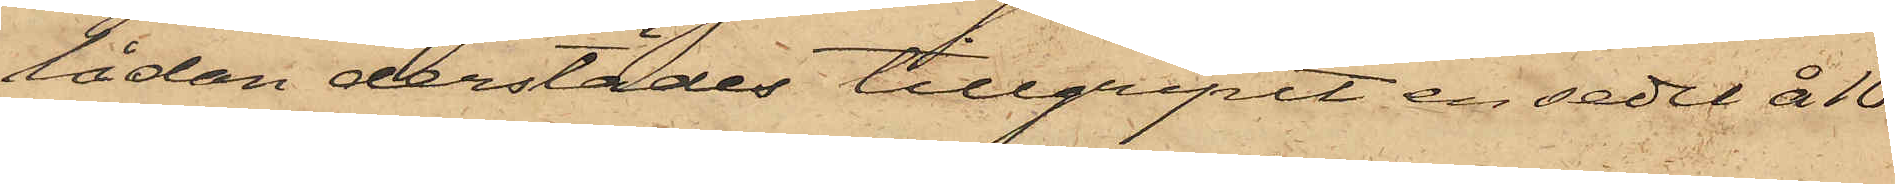lådan derstädes tillgripit en sedel å 10
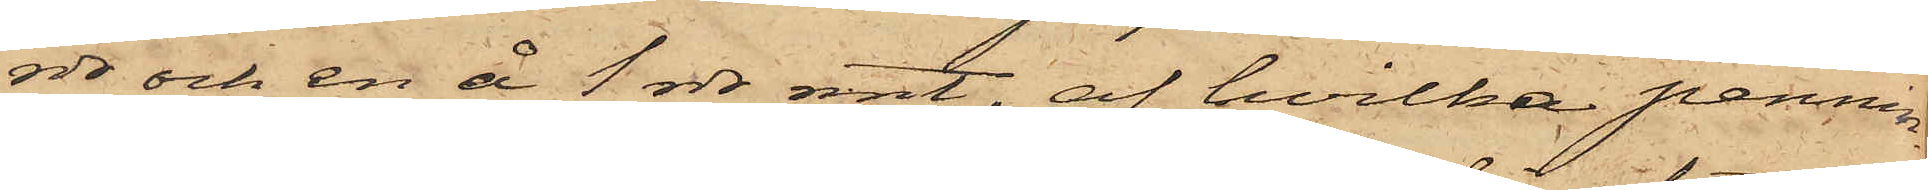rdr och en å 1 rdr rmt, af hvilka pennin¬
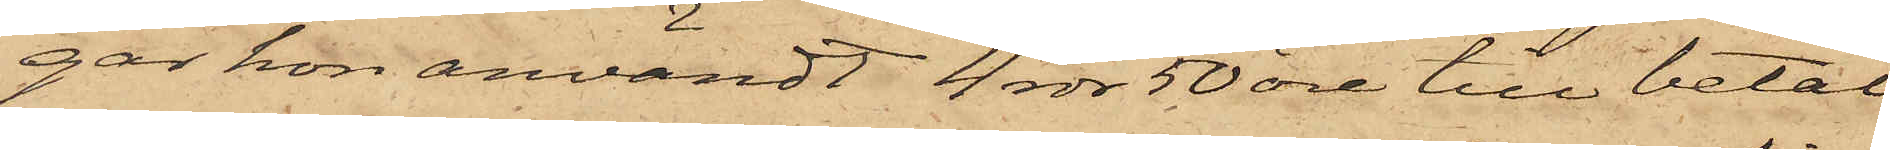gar hon användt 4 rdr 50 öre till betal¬
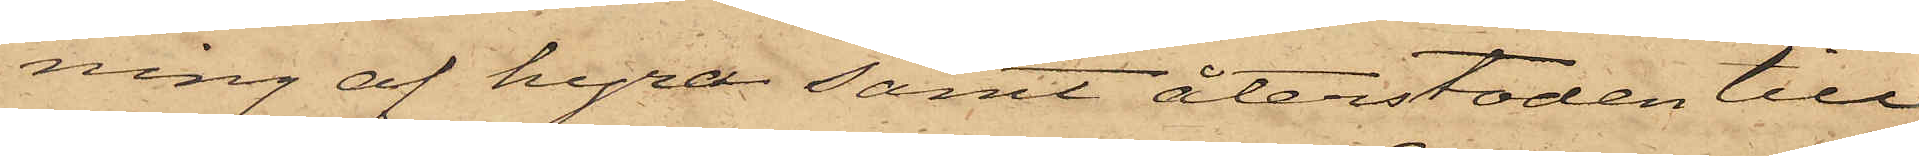ning af hyra samt återstoden till
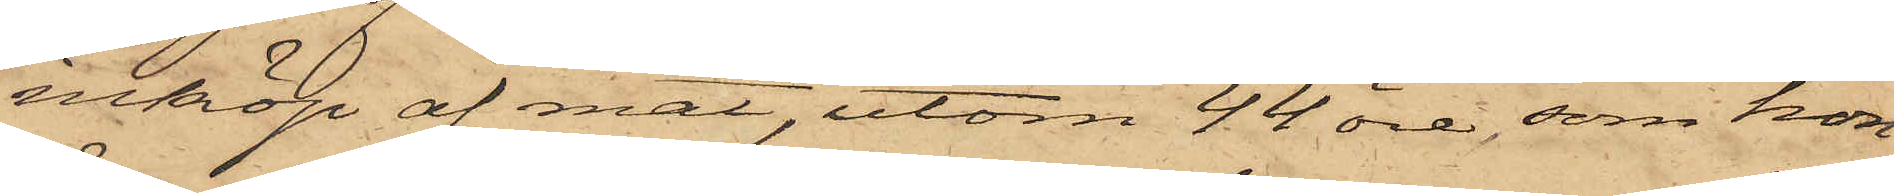inköp af mat, utom 44 öre, som hon
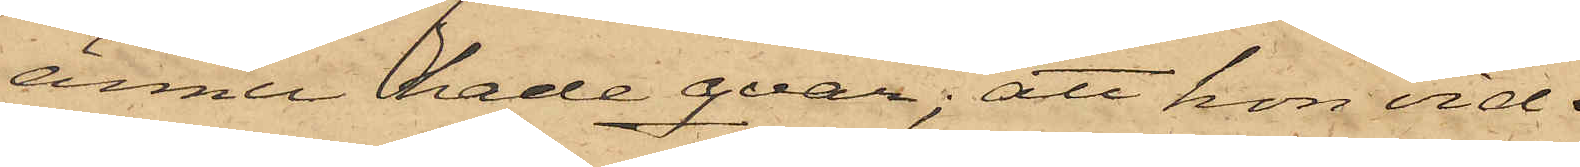ännu hade qvar; att hon vid
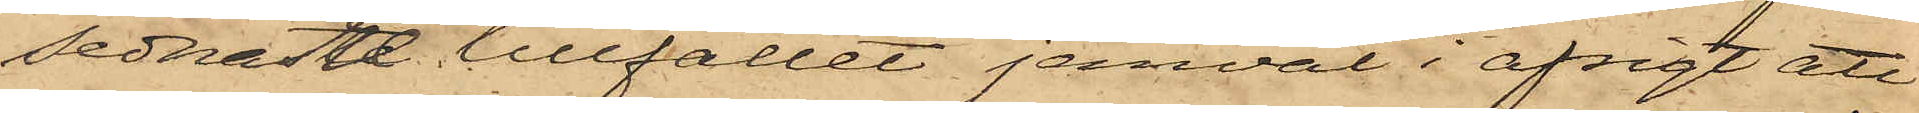sednaste tillfället jemväl i afsigt att
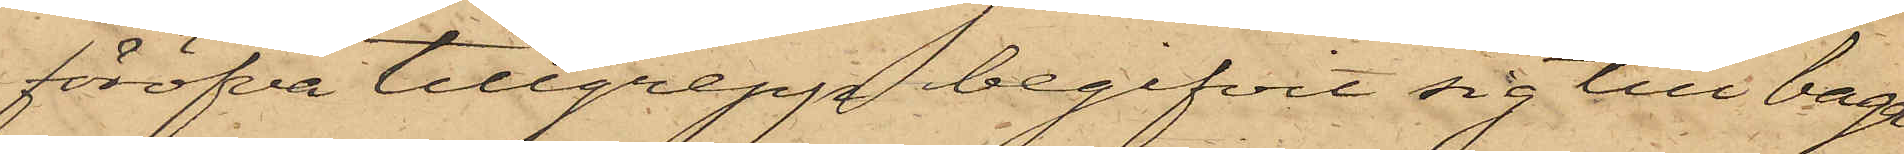föröfva tillgrepp begifvit sig till bage¬
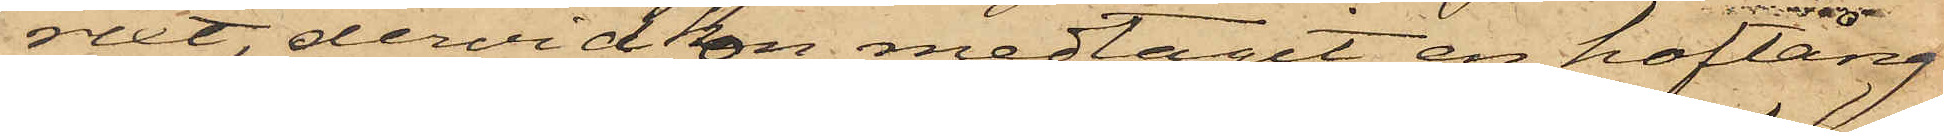riet, dervid hon medtagit en hoftång
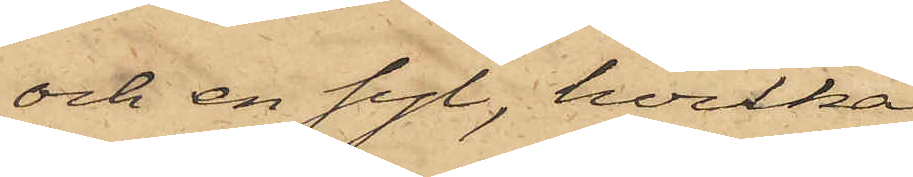och en syl, hvilka
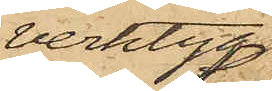verktyg
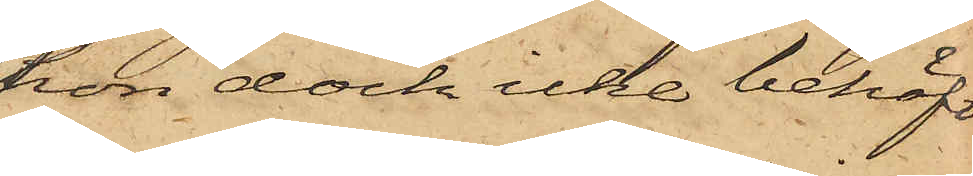hon dock icke behöft
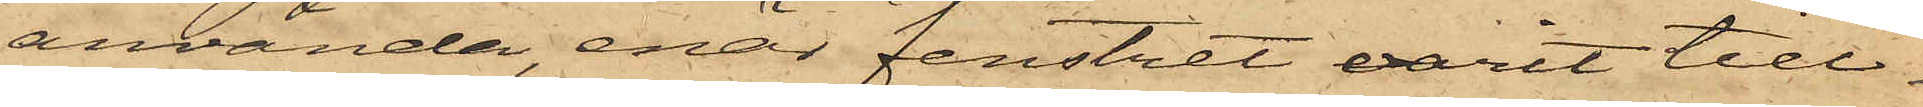använda, enär fenstret varit till¬
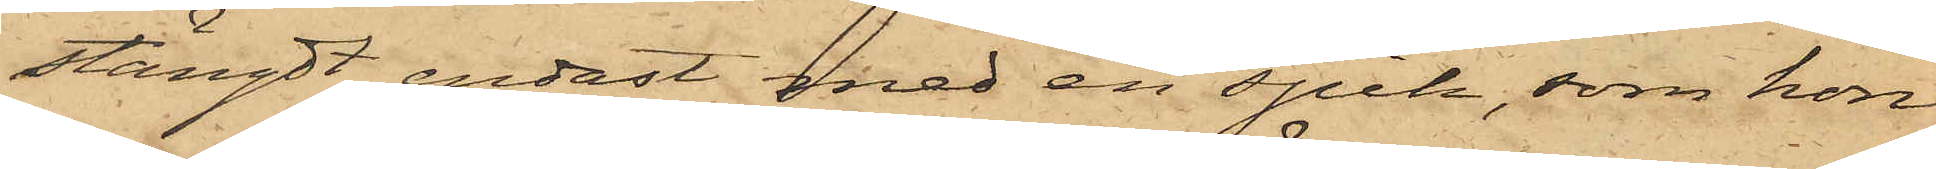stängdt endast med en spik, som hon
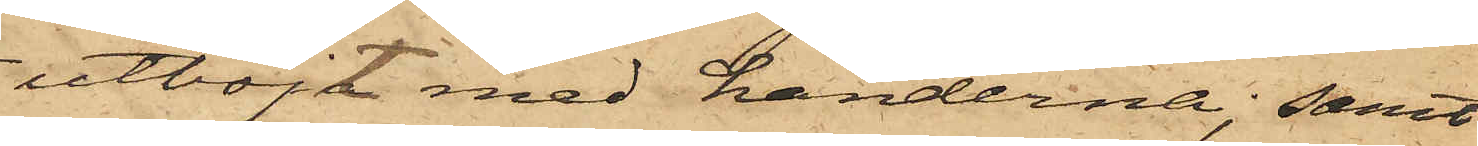utböjt med händerna; samt
